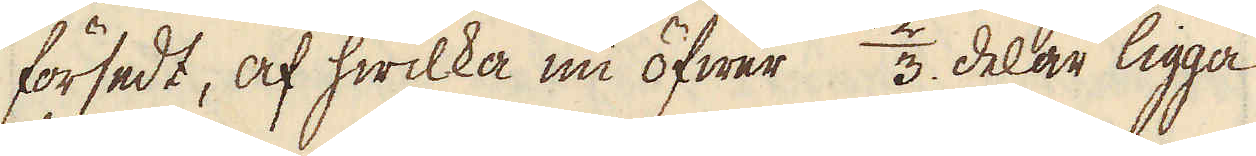försedt, af hwilka nu öfwer 2/3 delar ligga
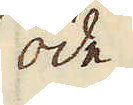öde.
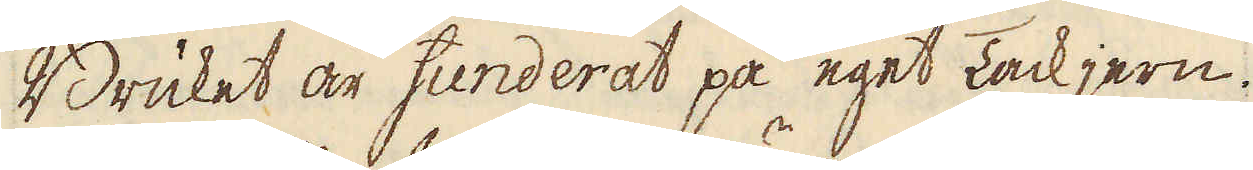Bruket är funderat på eget Tackjern.
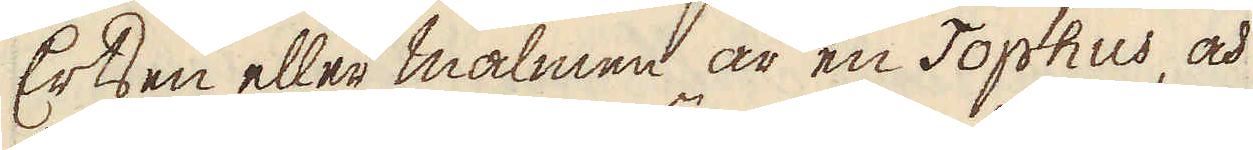Ertsen eller malmen är en Tophus, och
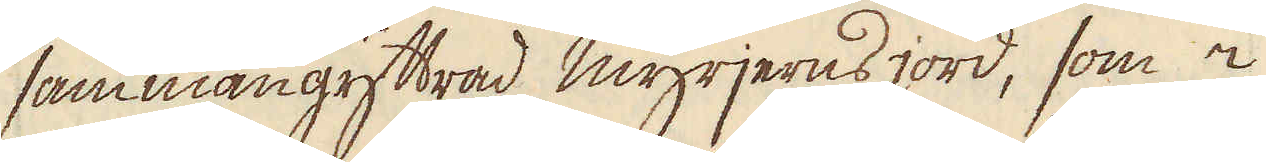sammangyttrad myrjerns jord, som i
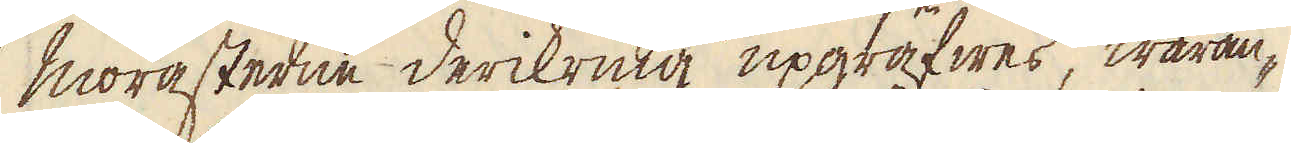morasterne derikring upgräfwes, waran-
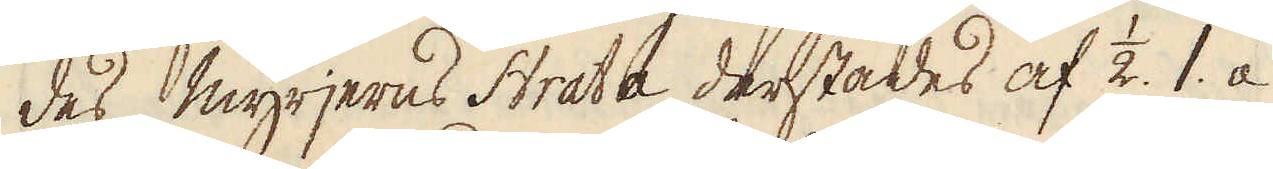des myrjerns Strata derstädes af 1/2. 1. a
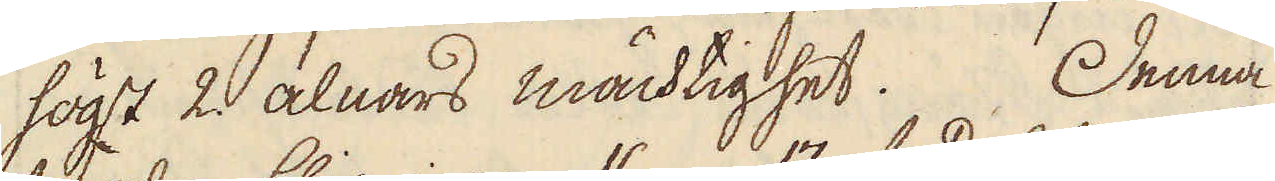högst 2. alnars mächtighet. Denna
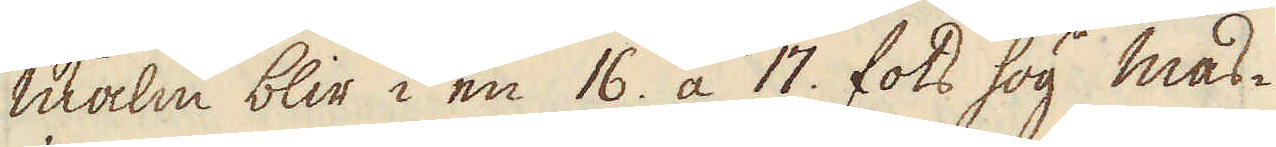malm blir i en 16. a 17. fots hög mas-
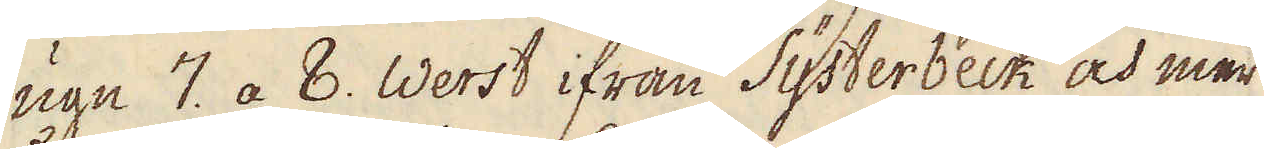ugn 7. a 8. Werst ifrån Systerbeck och mer
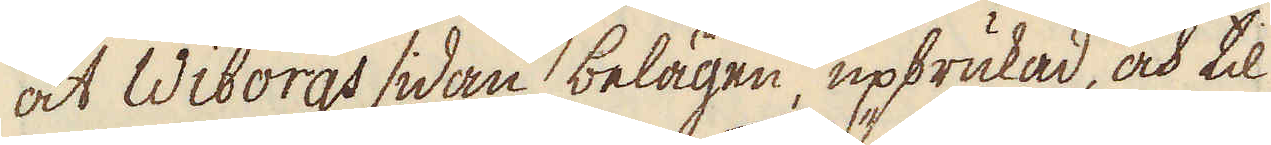åt Wiborgs sidan belägen, upbrukad, och til
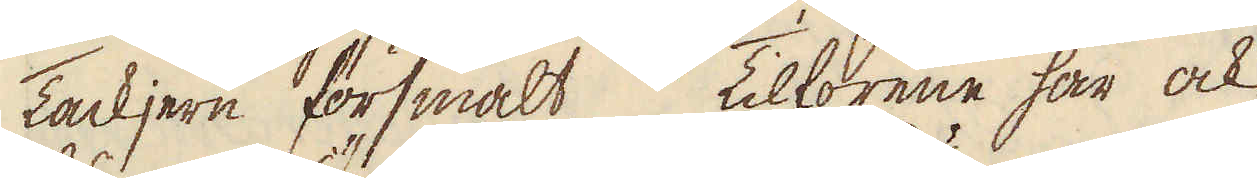Tackjern försmält Tilförene har ock
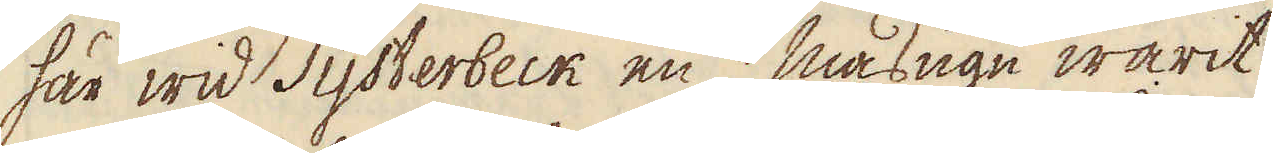här wid Systerbeck en masugn warit
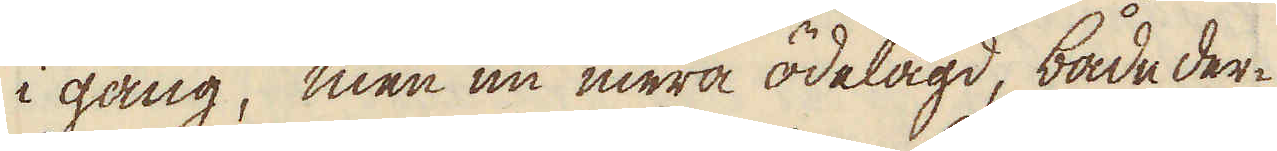i gång, men nu mera ödelagd, både der-
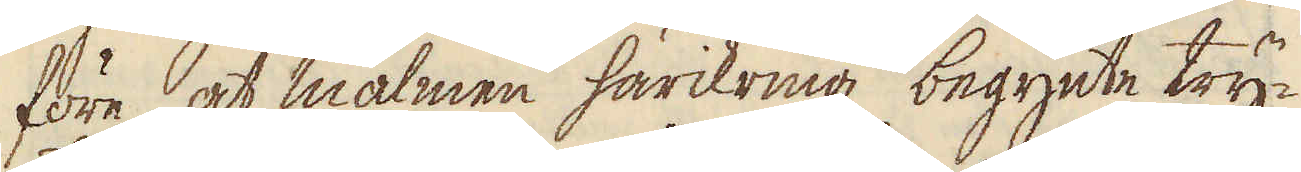före at malmen härikring, begynte try-
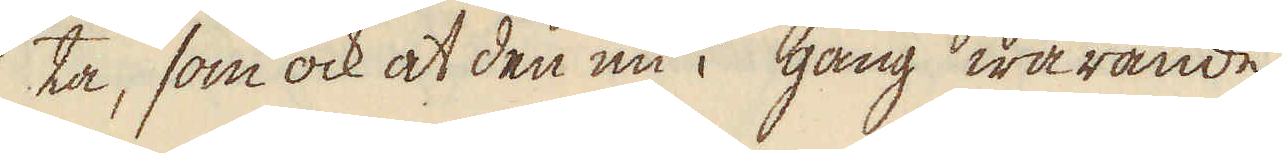ka, som ock at den nu i gång warande
